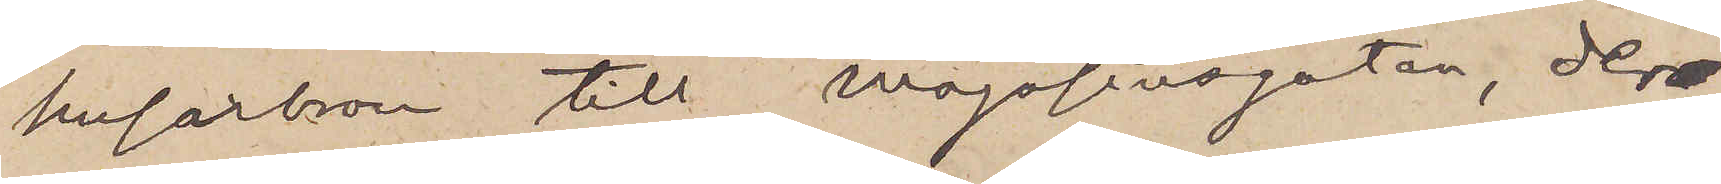Husarbron till Magasinsgatan, der
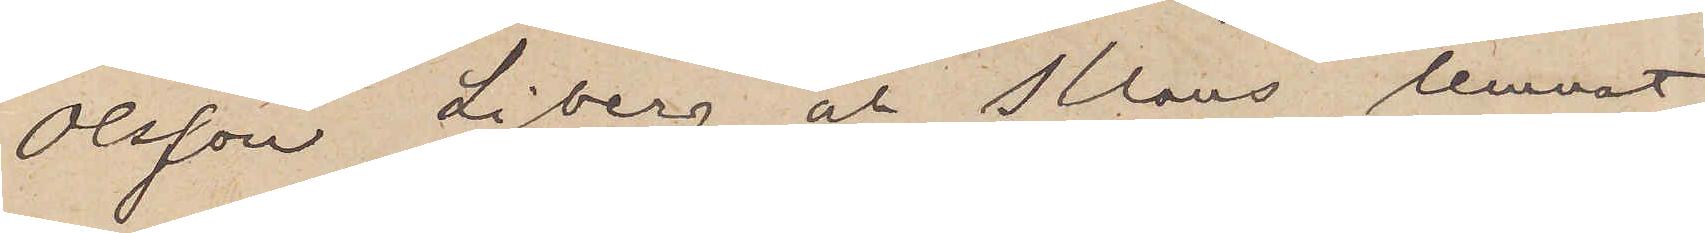Olsson, Liberg och Klaus lemnat
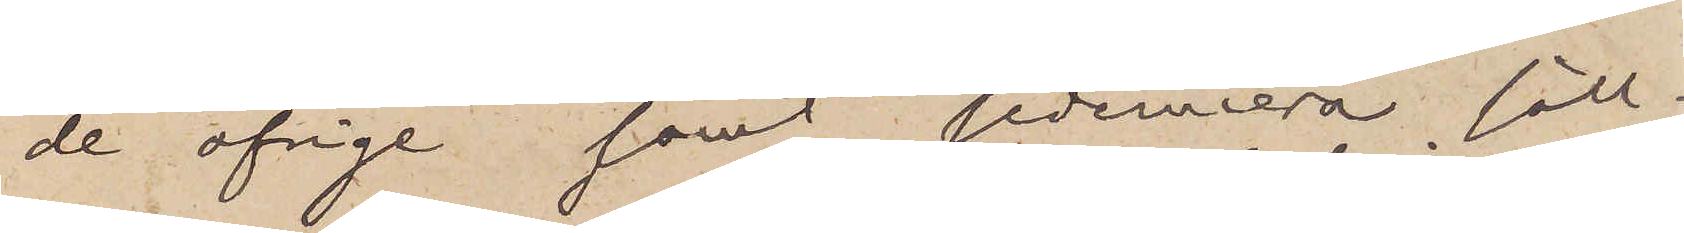de öfrige samt sedermera säll¬
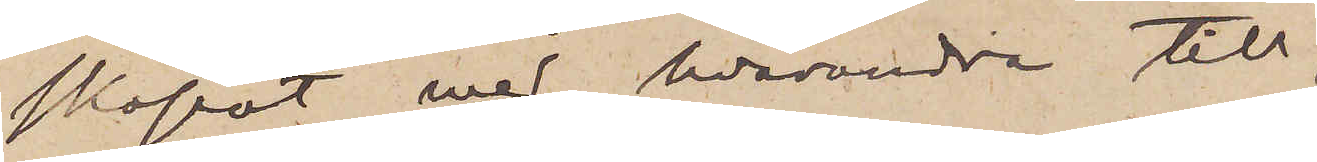skapat med hvarandra till
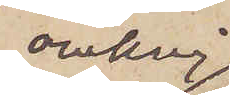omkring
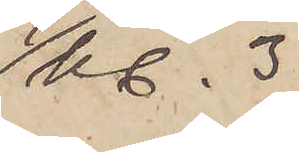kl. 3
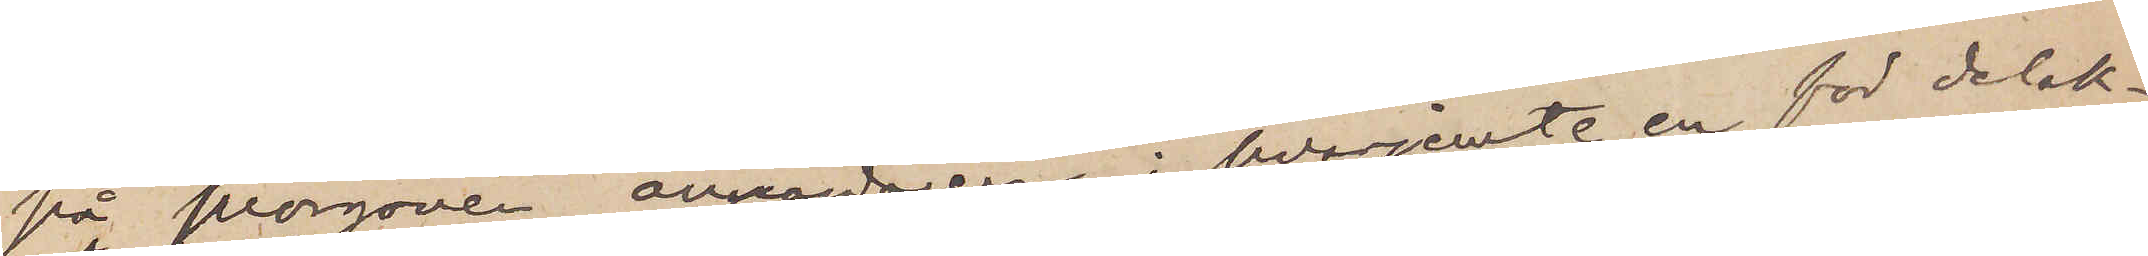på morgonen annandagen, hvarjemte en för delak¬
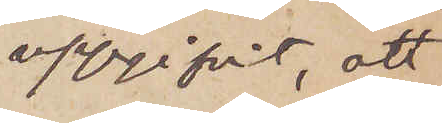uppgifvit, att
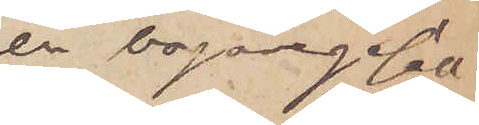en bagaregesäll
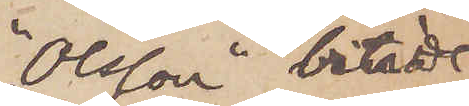"Olsson" biträdt
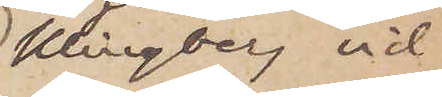Klingberg vid
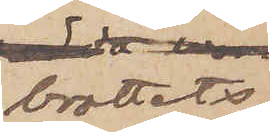brottets
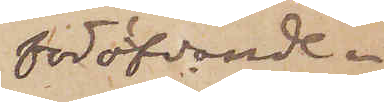föröfvande.
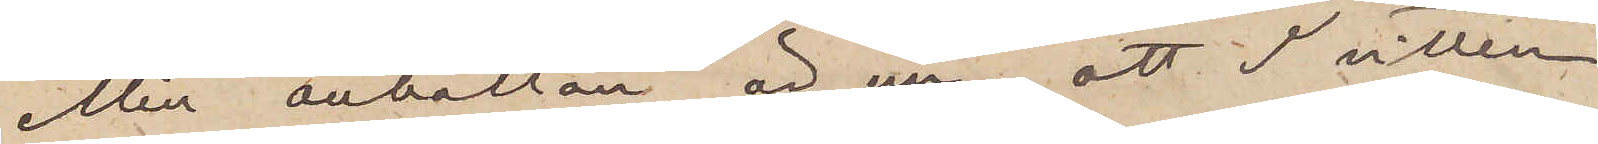Min anhållan är nu, att I villen
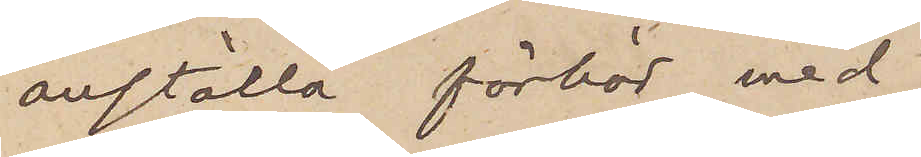anställa förhör med
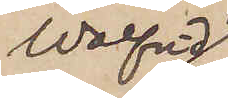Walfrid
